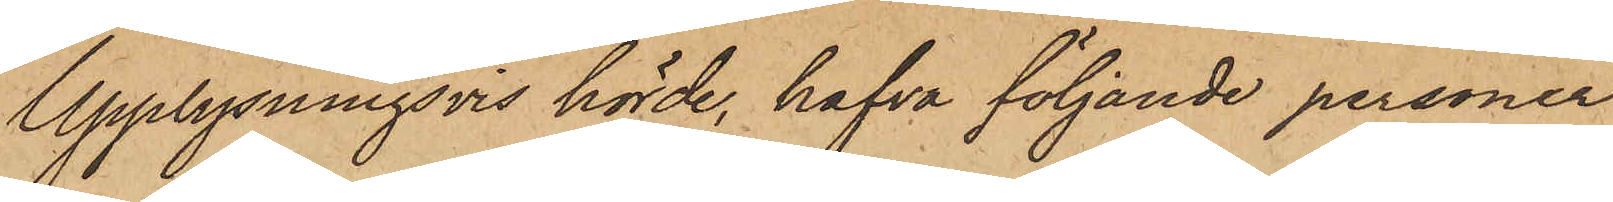Upplysningsvis hörde, hafva följande personer
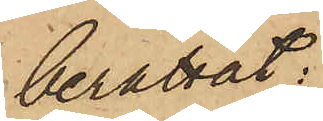berättat:
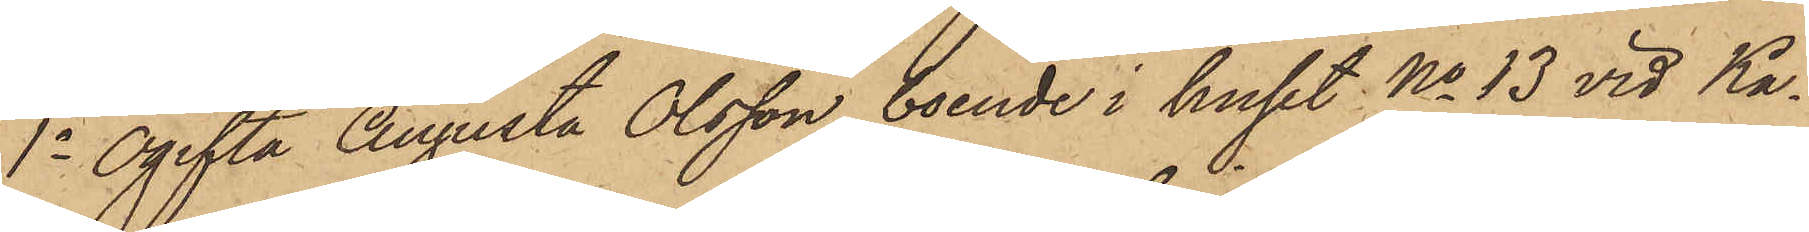1o Ogifta Augusta Olsson, boende i huset No 13 vid Ka¬
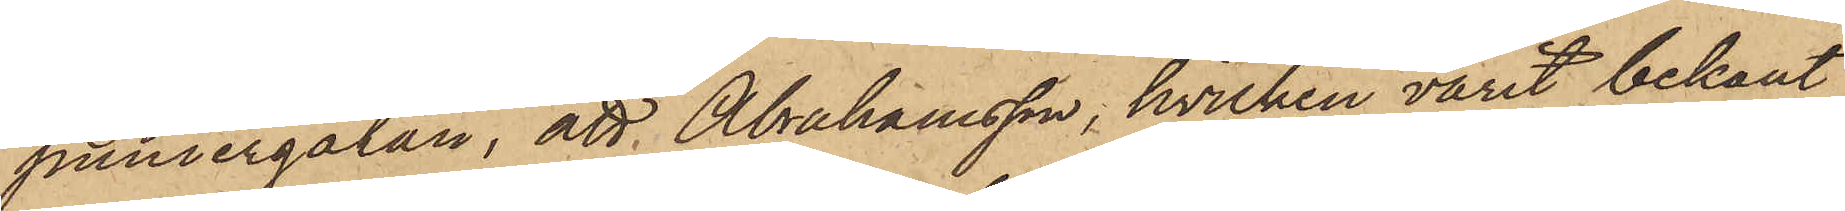puniergatan, att Abrahamsson, hvilken varit bekant
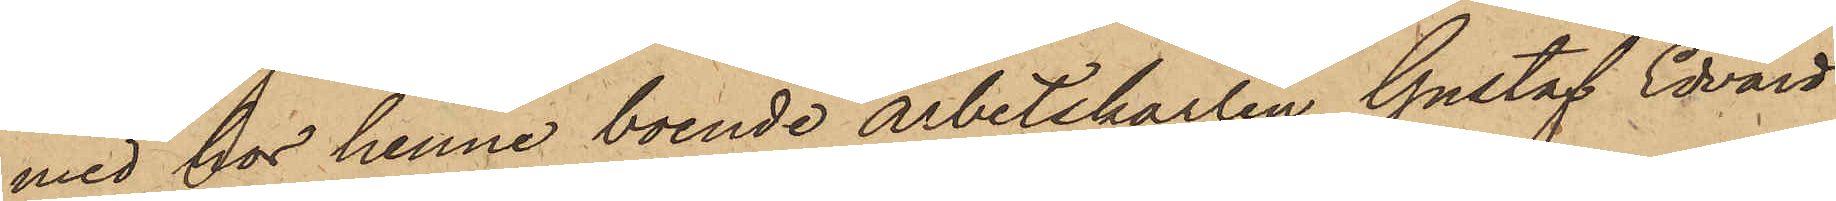med hos henne boende arbetskarlen Gustaf Edvard
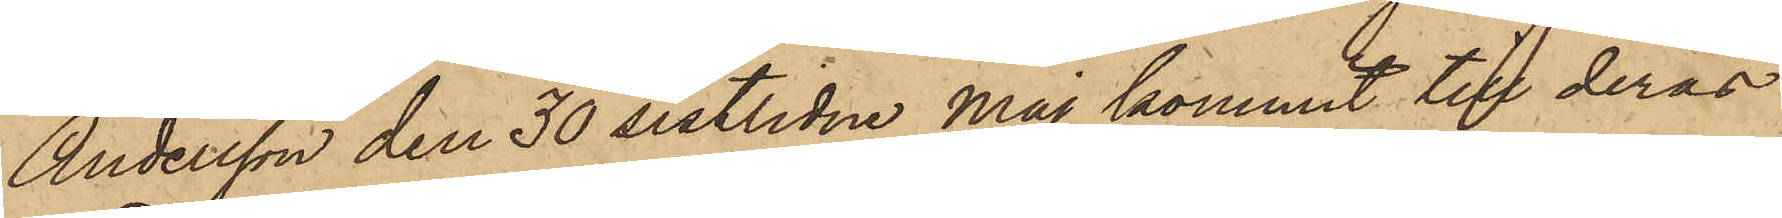Andersson den 30 sistlidne Maj kommit till deras
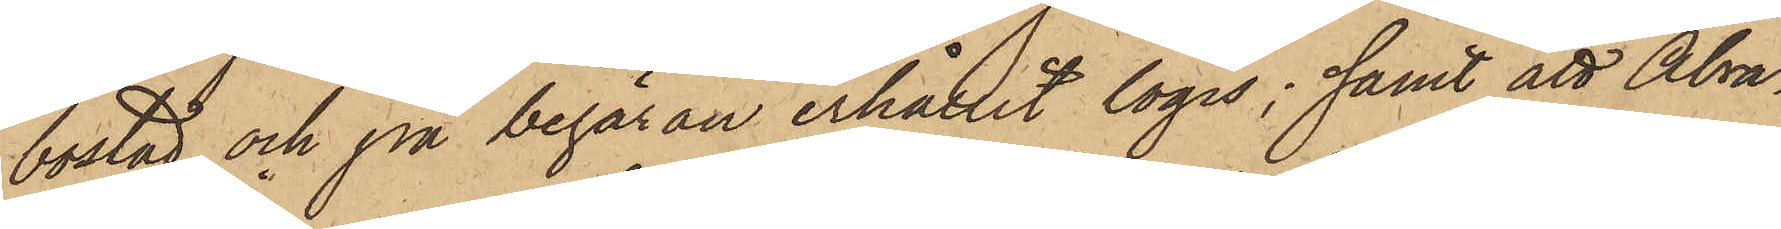bostad och på begäran erhållit logis; samt att Abra¬
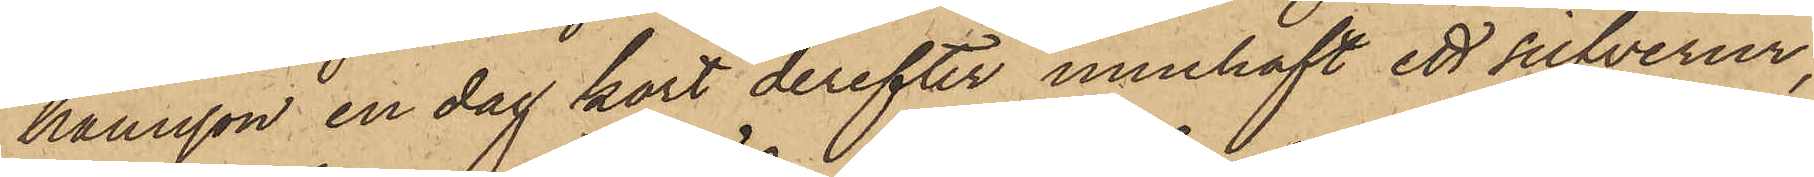hamsson en dag kort derefter innehaft ett silfverur,
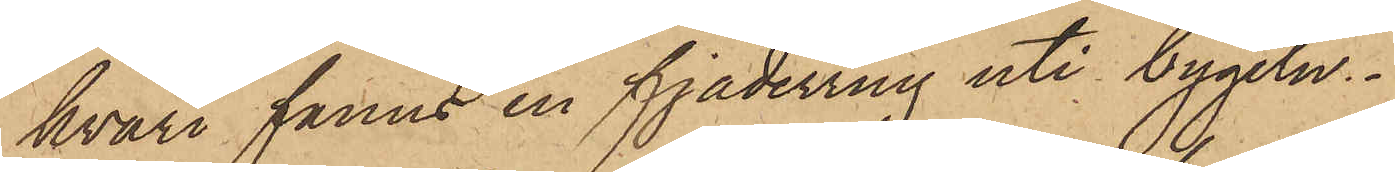hvari fanns en fjäderring uti bygeln.
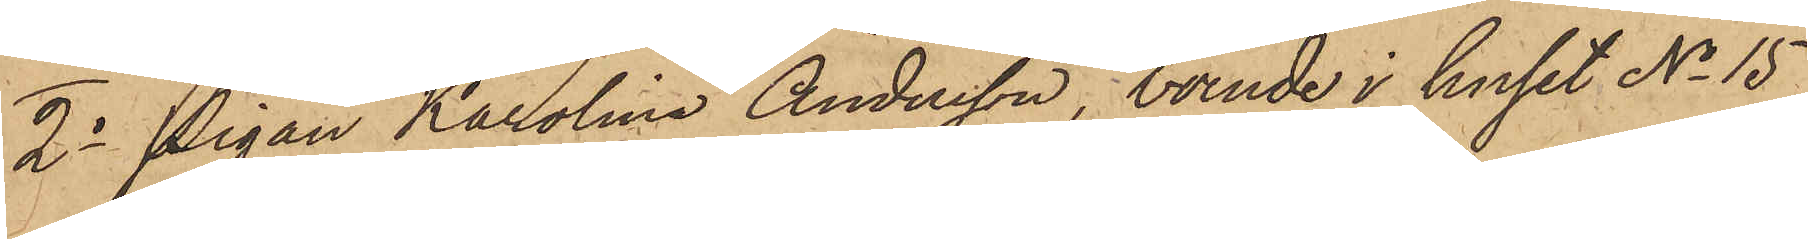2o Pigan Karolina Andersson, boende i huset No 15
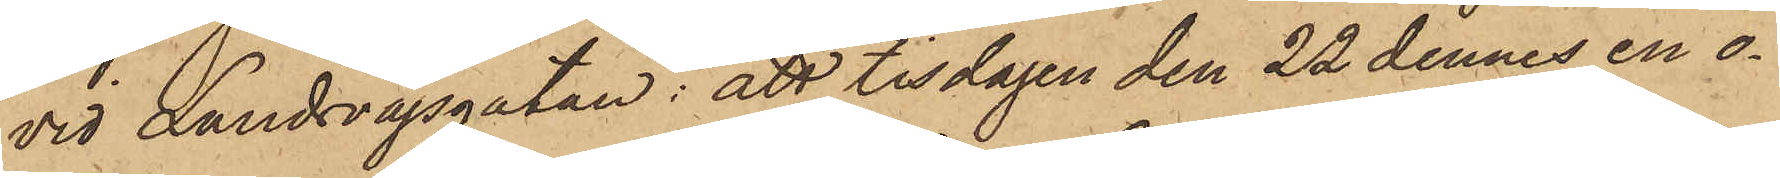vid Landsvägsgatan: att tisdagen den 22 dennes en o¬
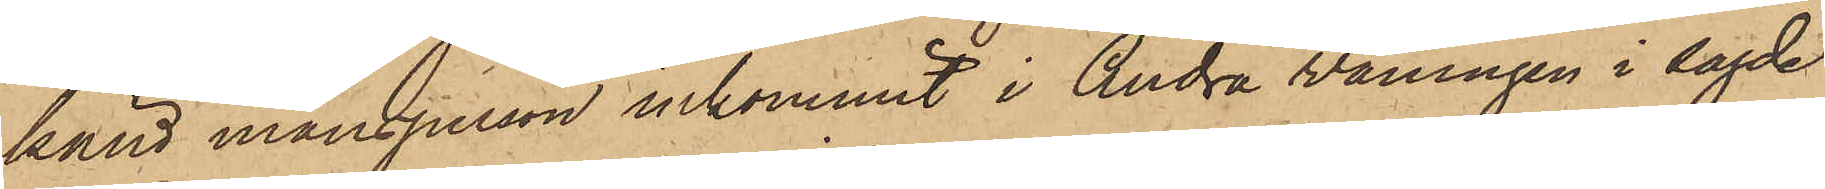känd mansperson inkommit i Andra våningen i sagde
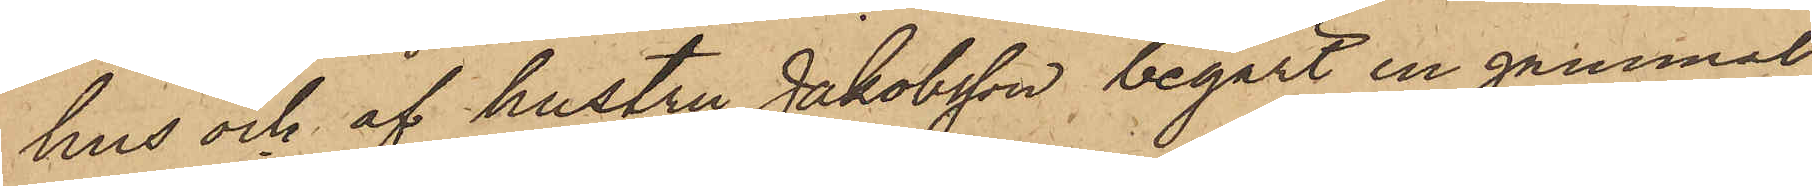hus och af hustru Jakobsson begärt en gammal
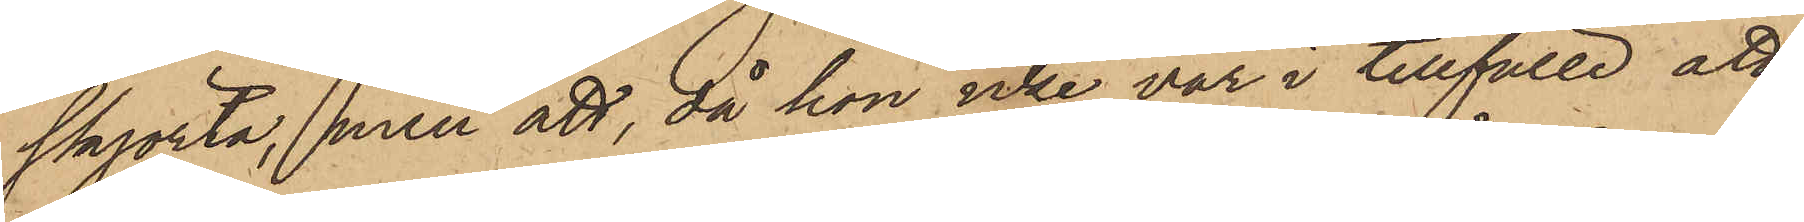skjorta, men att, då hon icke var i tillfälle att
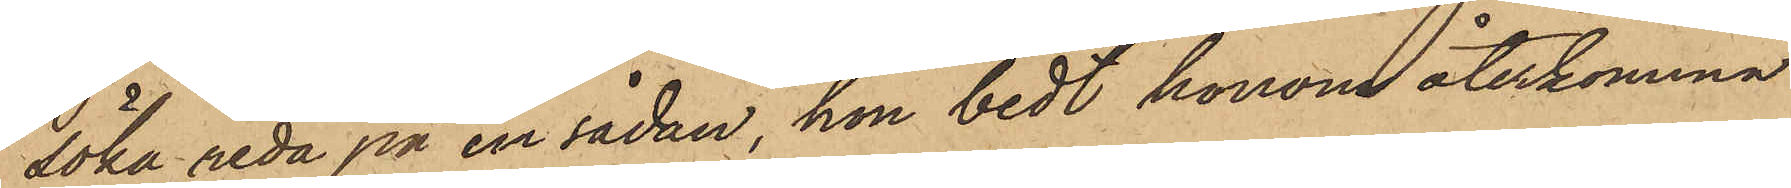söka reda på en sådan, hon bedt honom återkomma
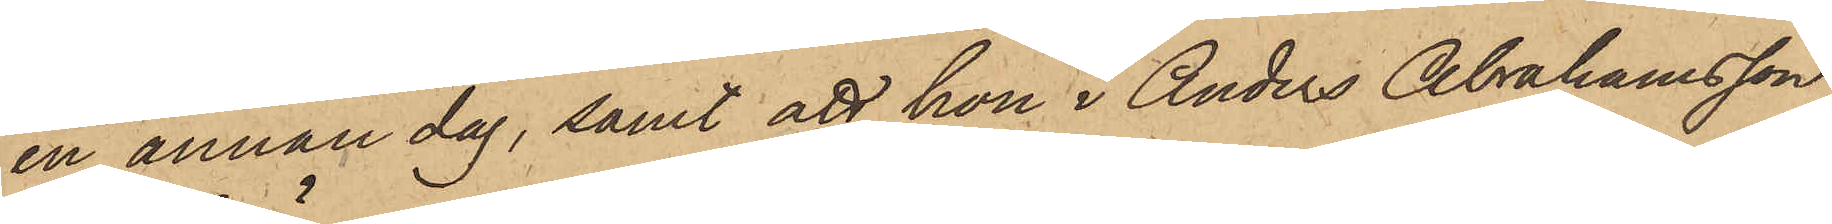en annan dag, samt att hon i Anders Abrahamsson
